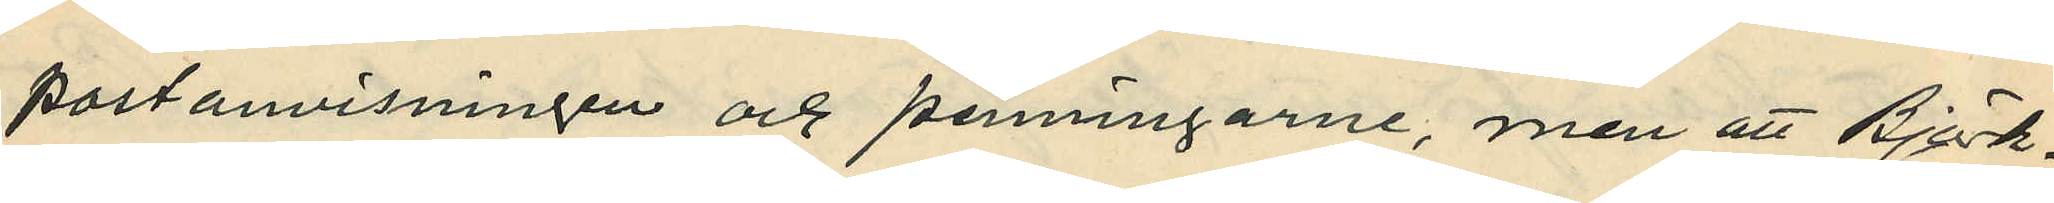postanvisningen och penningarne, men att Björk¬
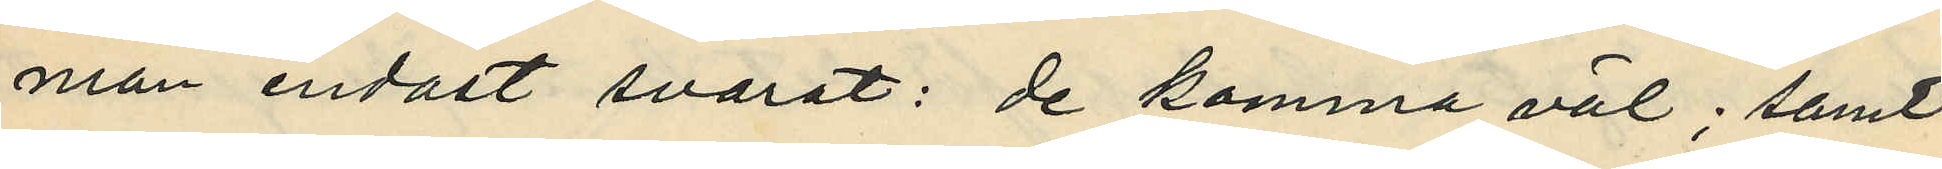man endast svarat: de kommer väl; samt
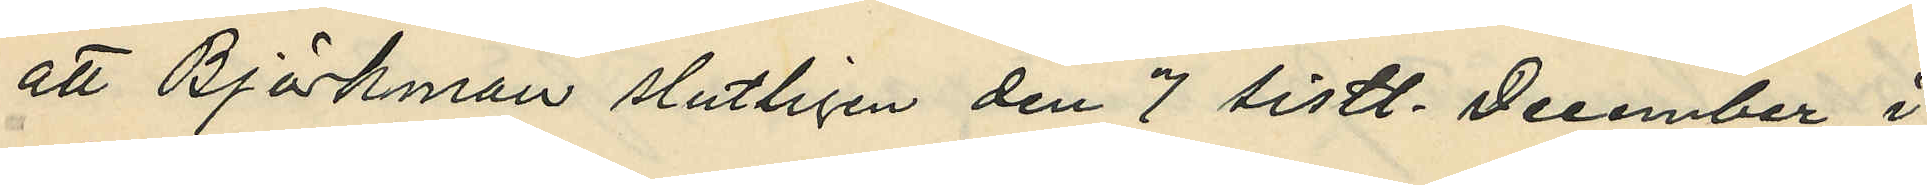att Björkman slutligen den 7 sistl. December i
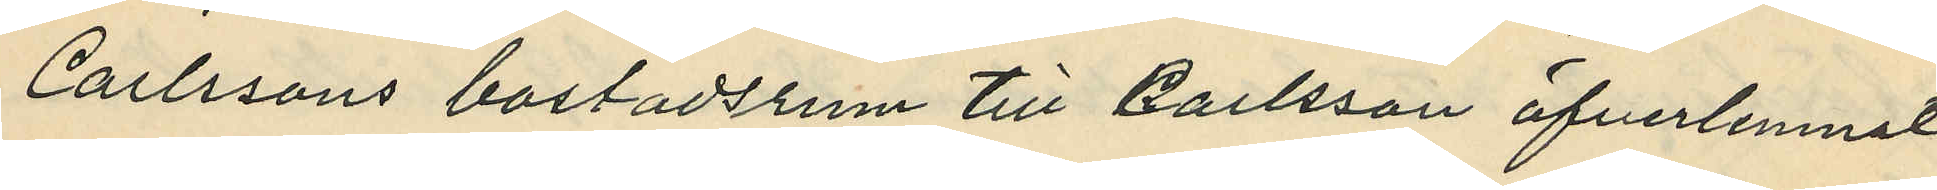Carlssons bostadsrum till Carlsson öfverlemnat
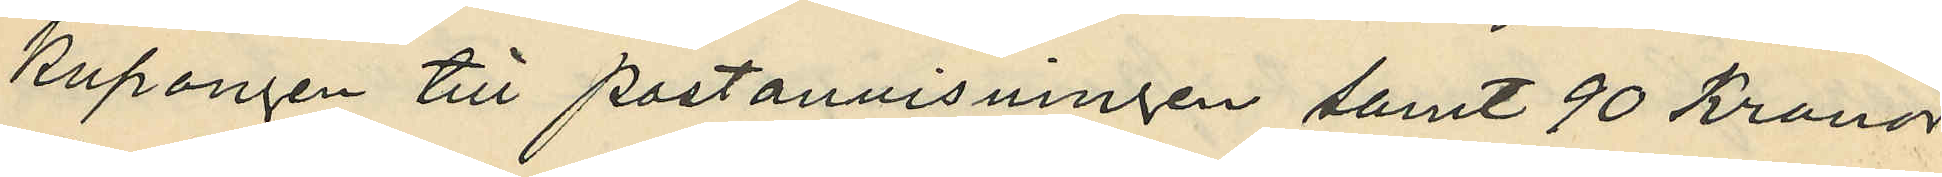kupongen till postanvisningen samt 90 Kronor
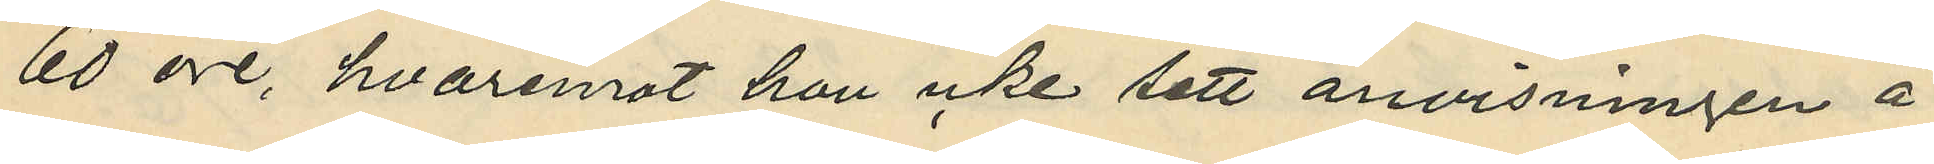60 öre hvaremot han icke sett anvisningen å
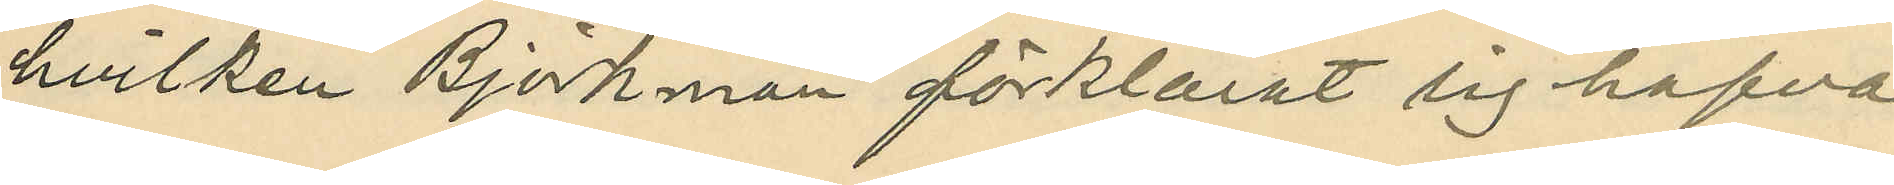hvilken Björkman förklarat sig hafva
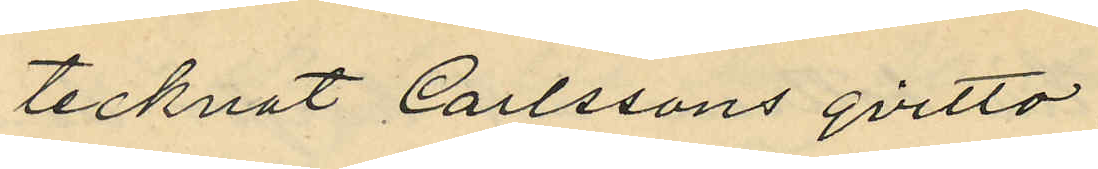tecknat Carlssons qvitto.
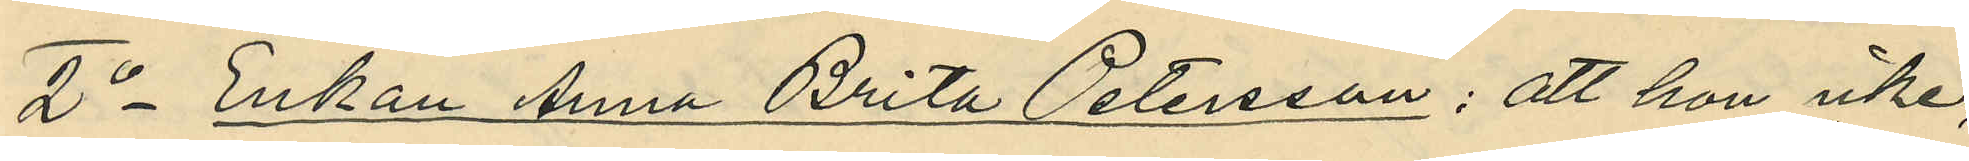2o Enkan Anna Brita Peterson; att hon icke,
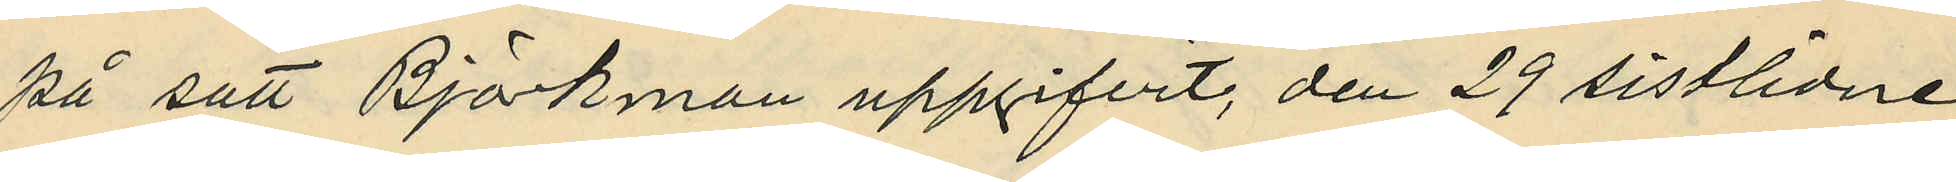på sätt Björkman uppgifvit, den 29 sistlidne
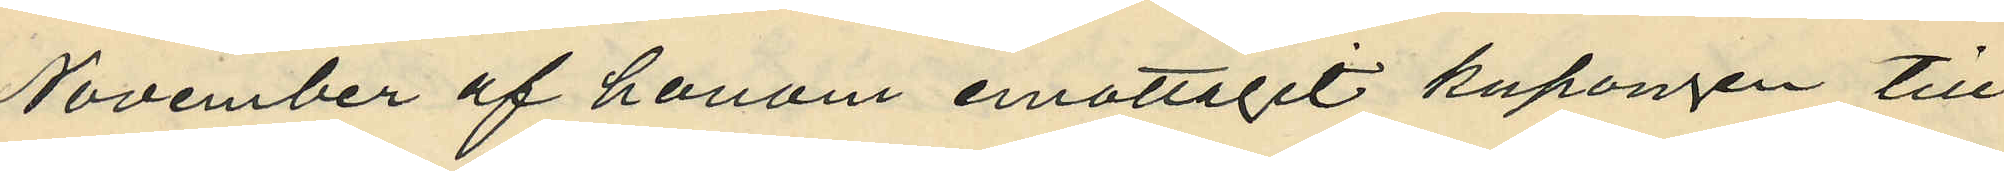November af honom emottagit kupongen till
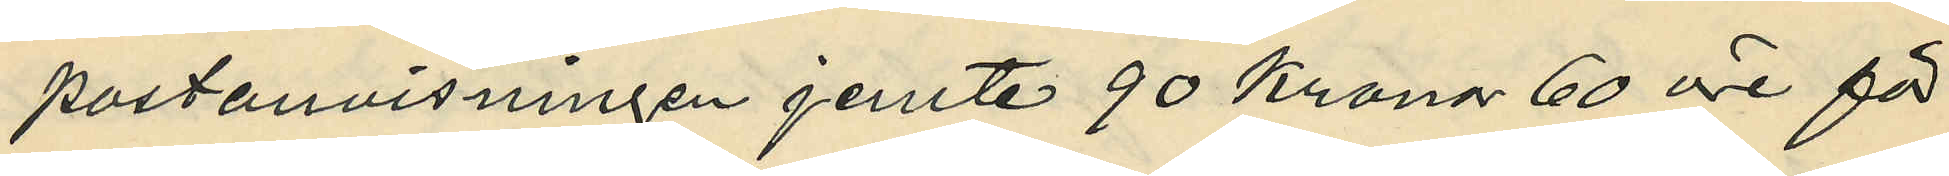postanvisningen jemte 90 Kronor 60 öre för
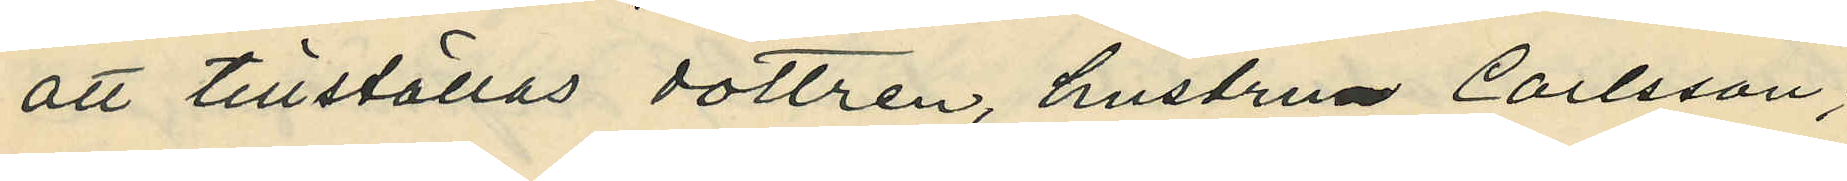att tillställas dottren, hustru Carlsson,
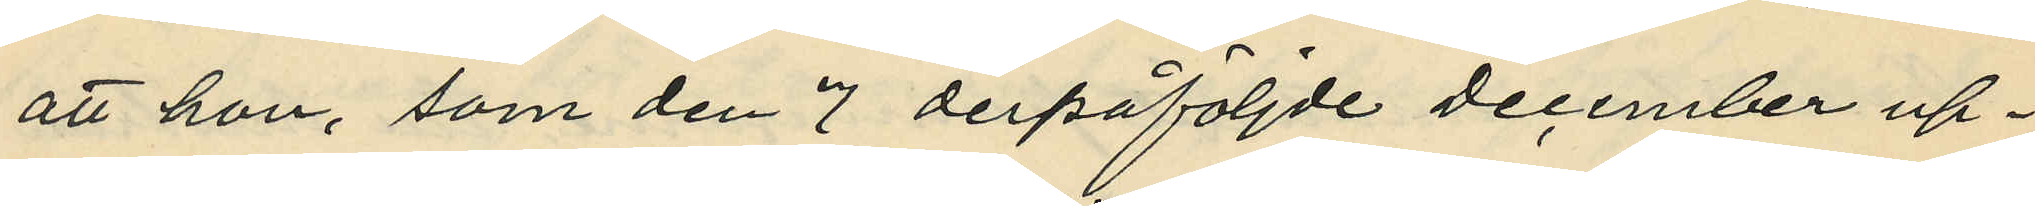att hon, som den 7 derpåföljde December up¬
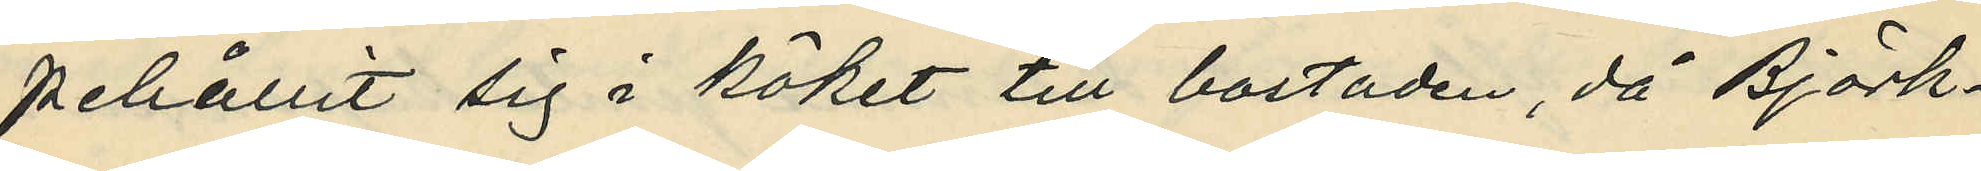pehållit sig i köket till bostaden, då Björk¬
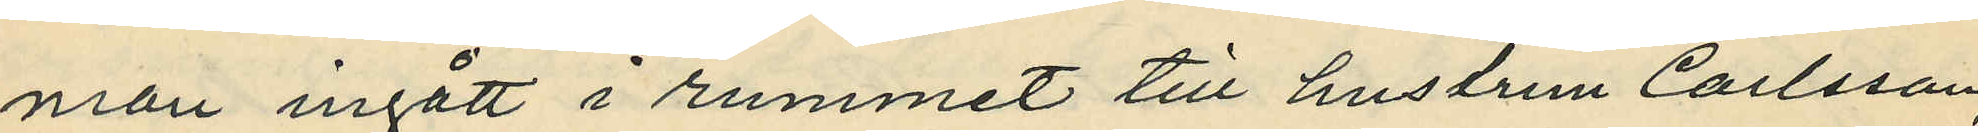man ingått i rummet till hustrun Carlsson,
